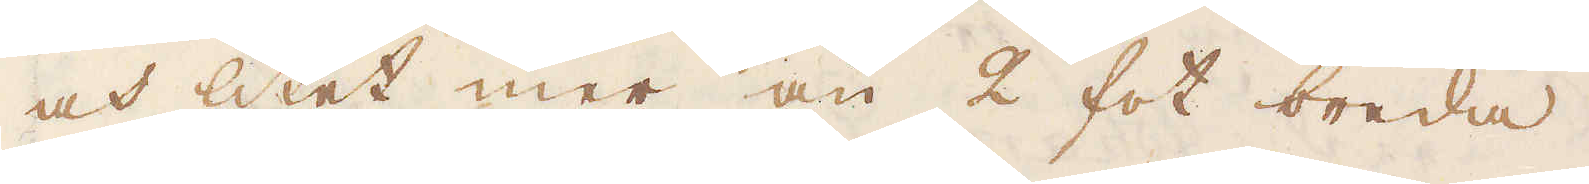och litet mer än 2 fot breda.
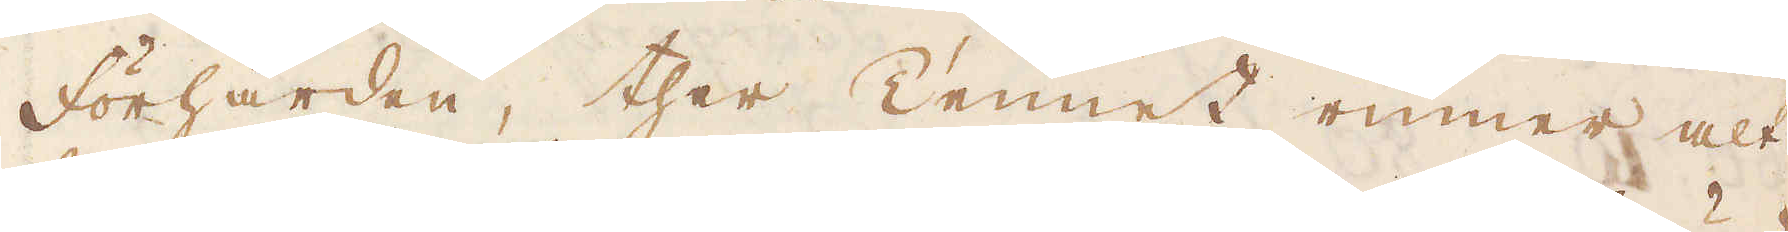Förhärden, ther Tennet rinner alt
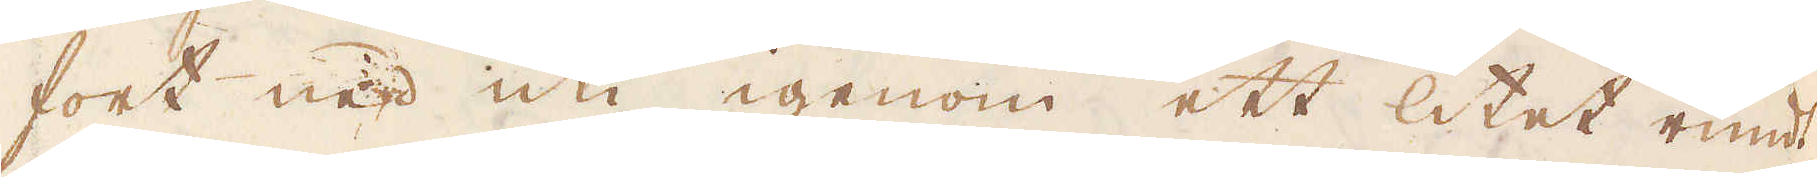fort ned uti igenom ett litet rundt
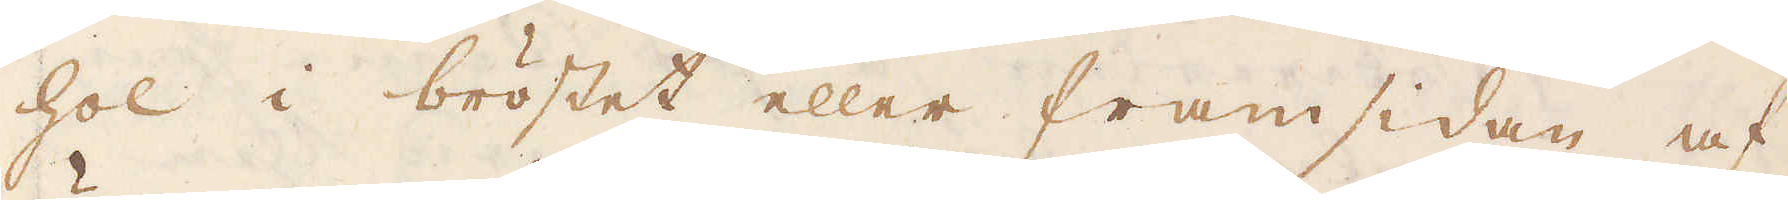hol i bröstet eller framsidan af
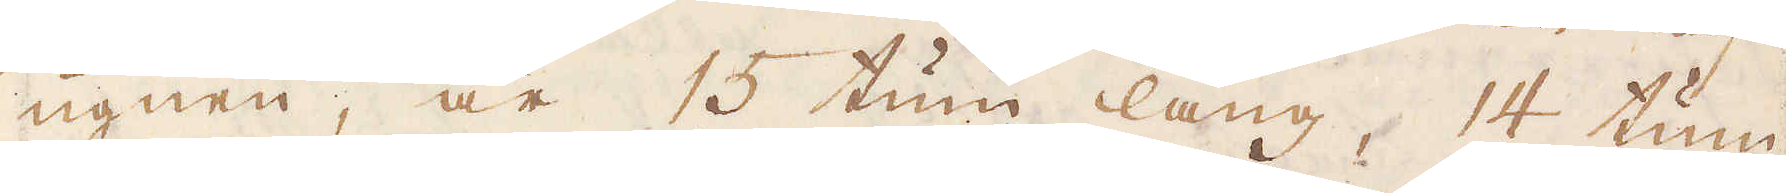ugnen, är 15 tum lång, 14 tum
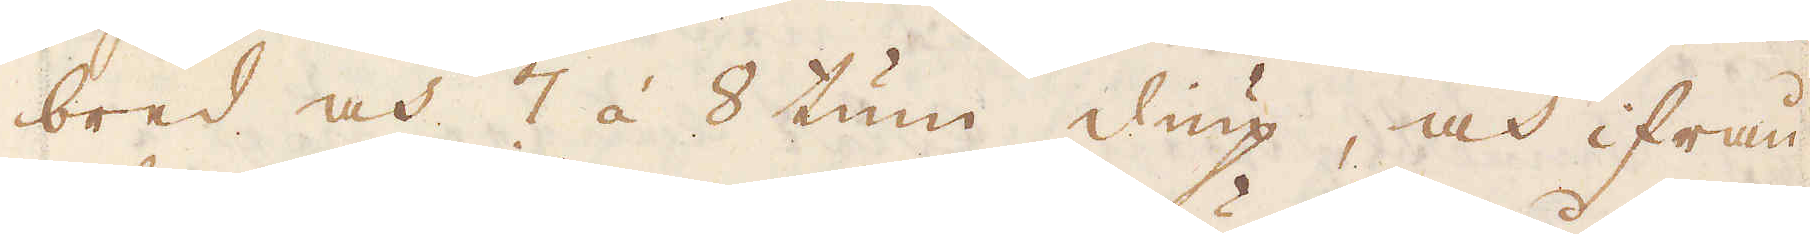bred och 7 á 8 tum diup, och ifrån
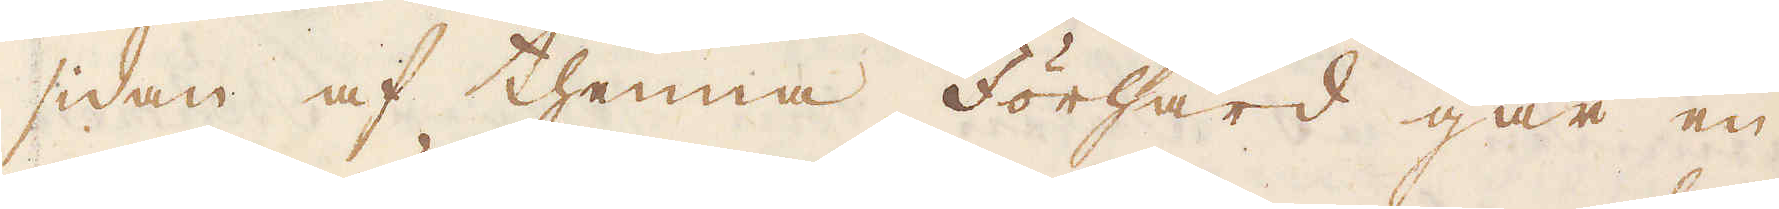sidan af thenna Förhärd går en
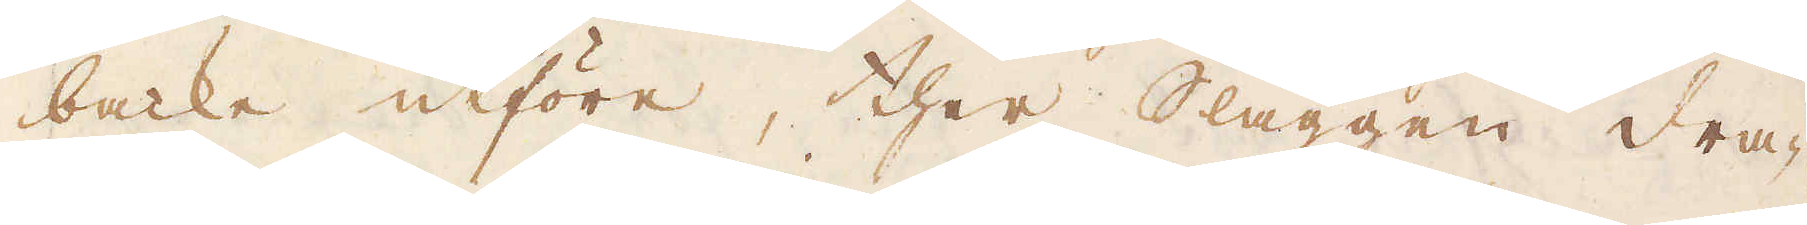backe utföre, ther Slaggen dra-
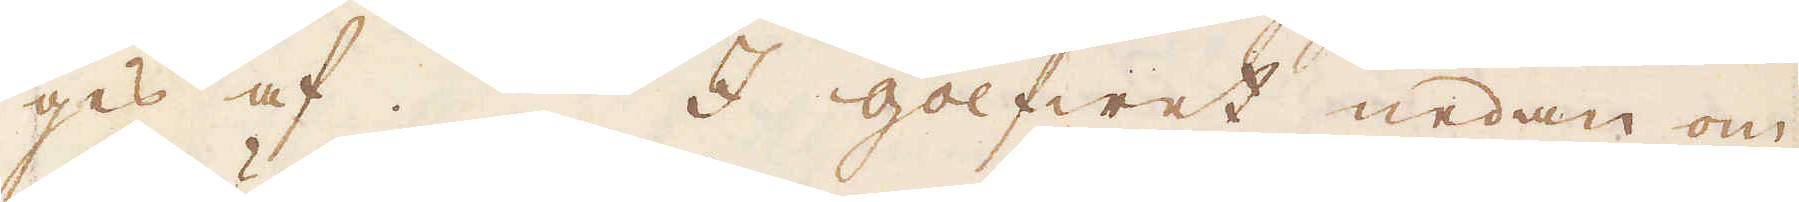ges af. I golfwet nedan om
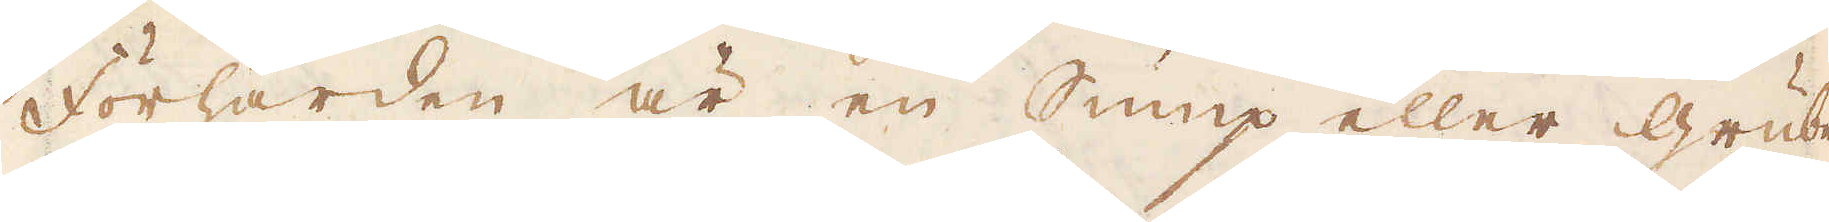Förhärden är en Sump eller Grube
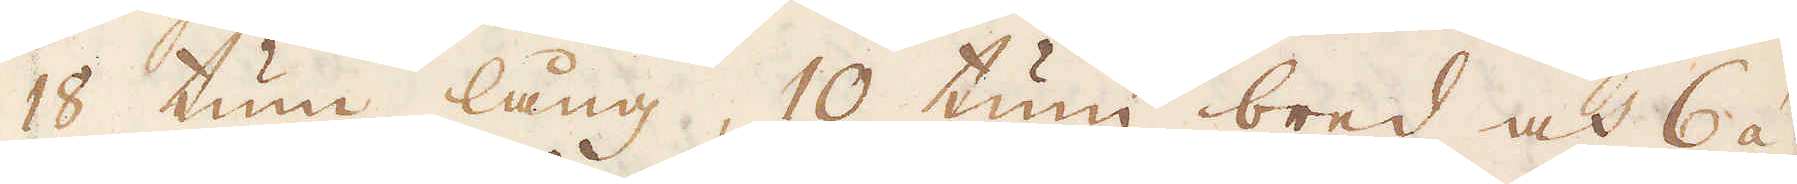18 tum lång, 10 tum bred och 6 á
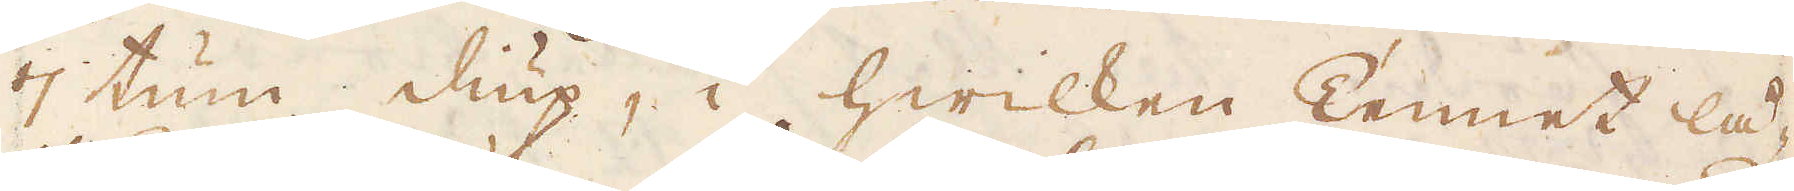7 tum diup, i hwilken Tennet lå-
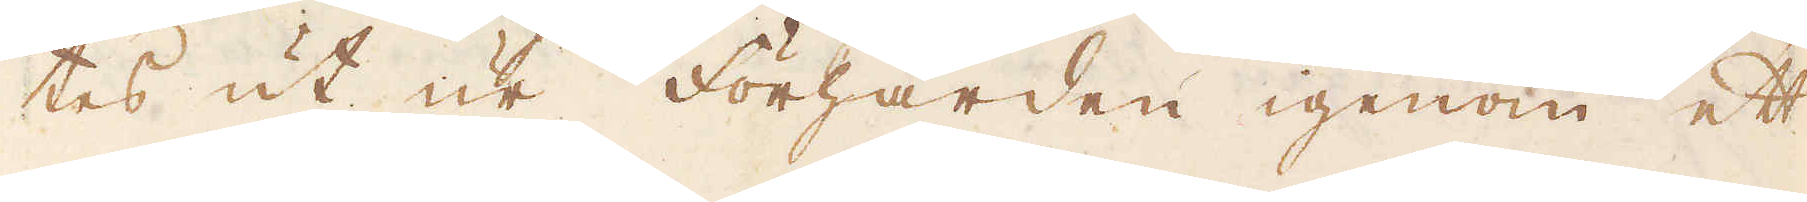tes ut ur Förhärden igenom ett
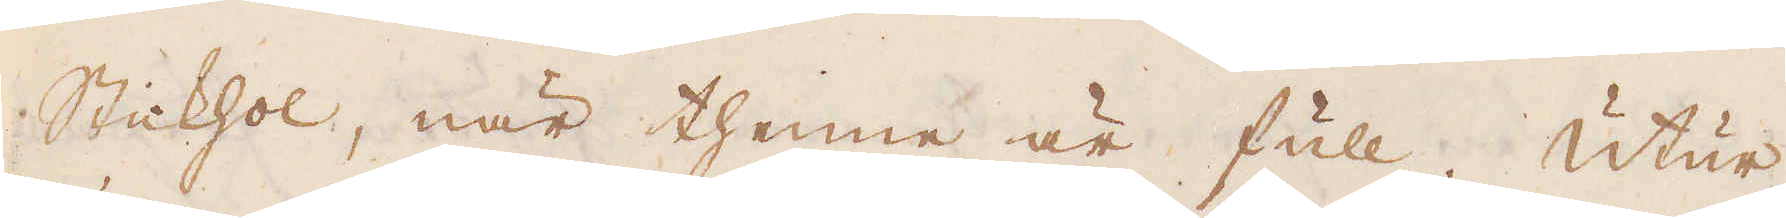Stickhol, när thenne är full. Utur
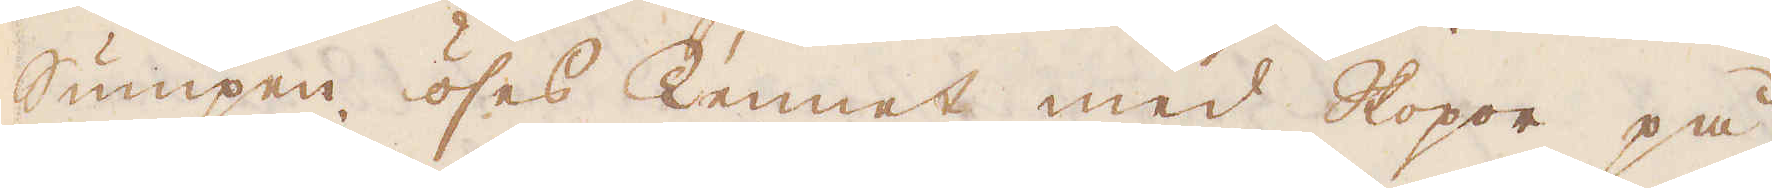Sumpen öses Tennet med Skopor på
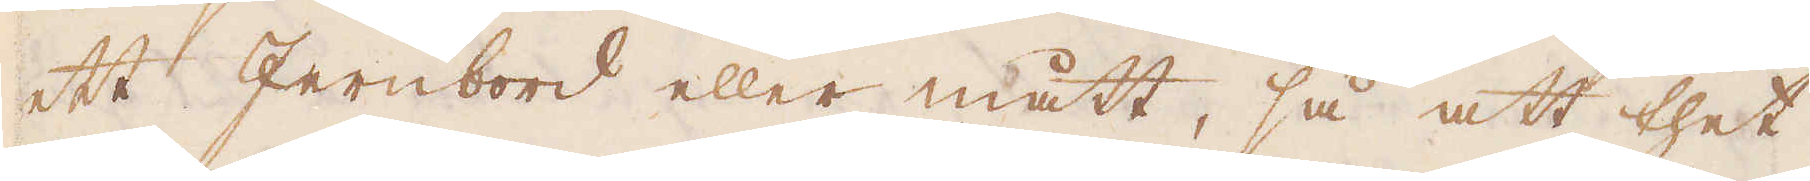ett Jernbord eller mått, så att thet
